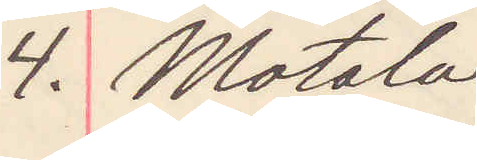4. Motala
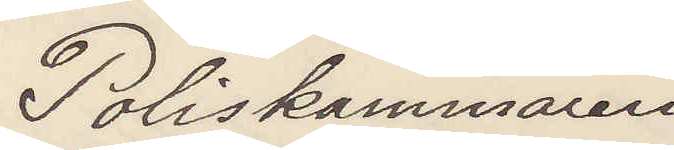Poliskammaren 
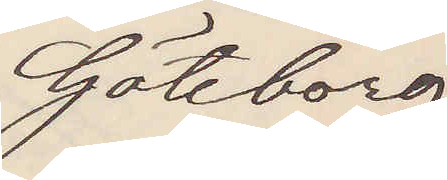Göteborg
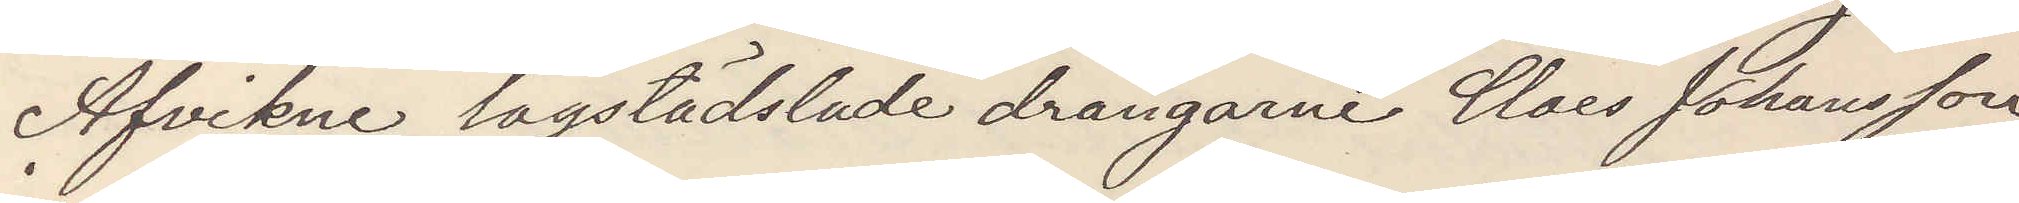Afvikne lagstädslade drängarne Claes Johansson
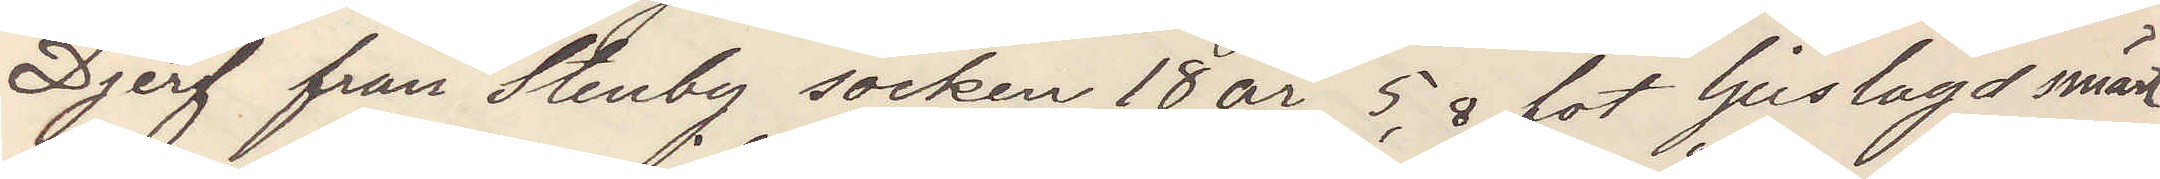Djerf från Stenby socken 18 år, 5,8 fot ljuslagd smärt
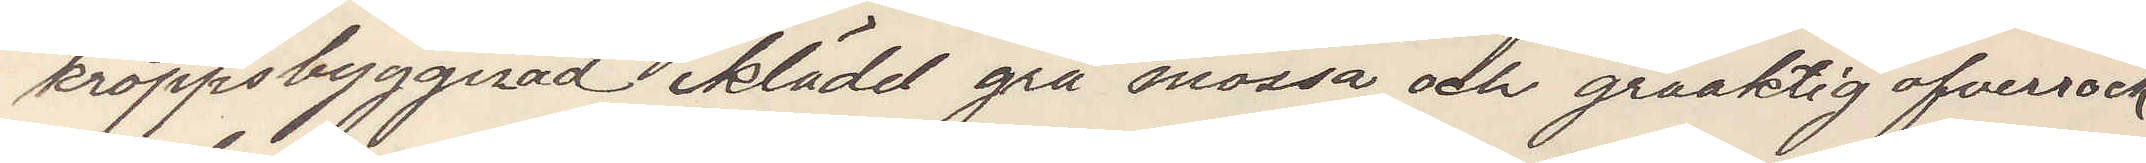kroppsbyggnad iklädd grå mössa och gråaktig ofverrock
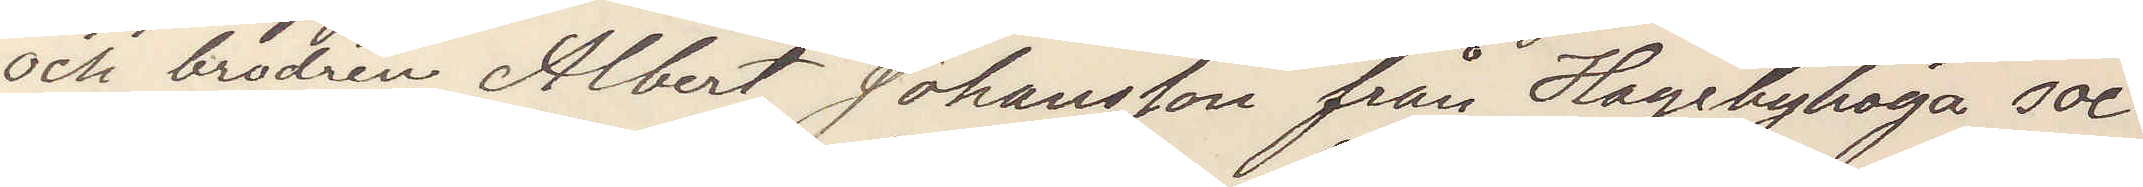och brodren Albert Johansson från Hagebyhöga soc¬
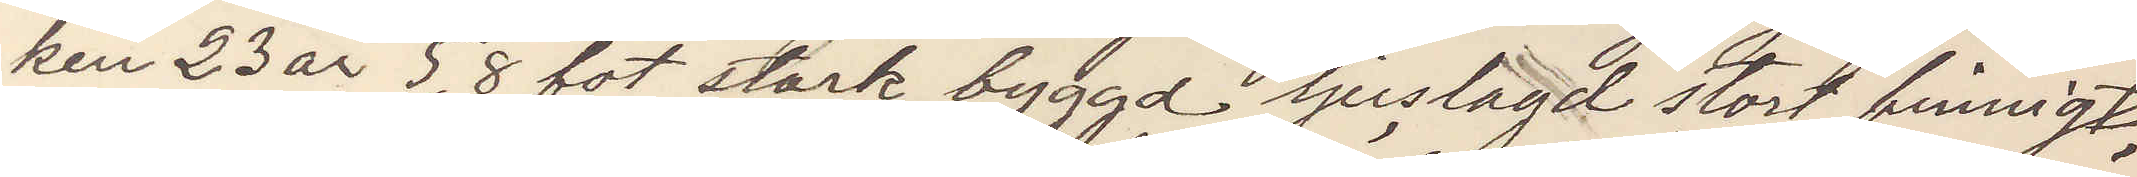ken 23 år 5,8 fot stark byggd ljuslagd stort finnigt
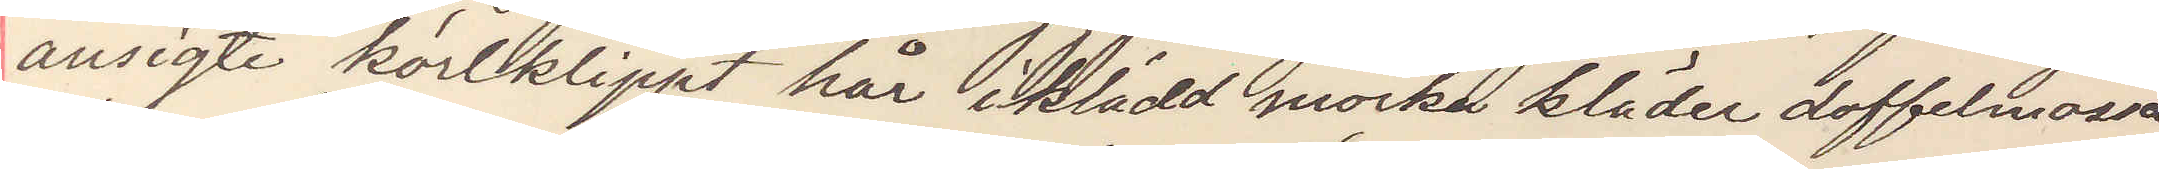ansigte kortklippt hår iklädd mörka kläder doffelmössa
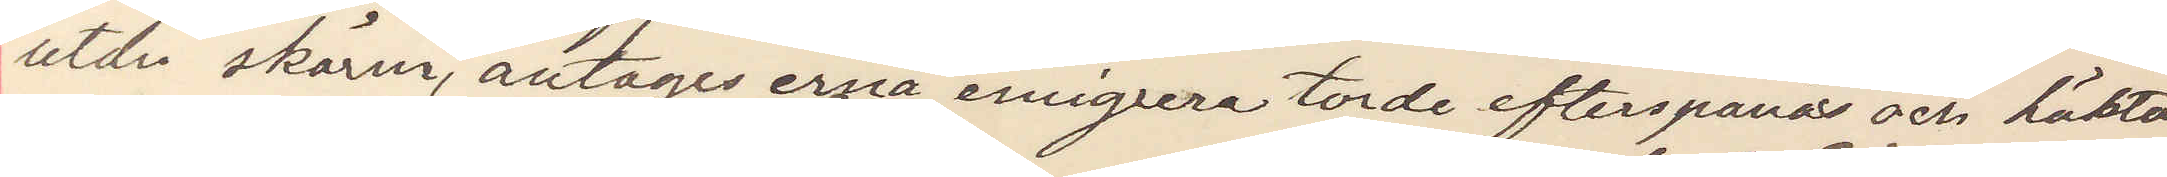utan skärm, antages erna emigrera torde efterspanas och häktas
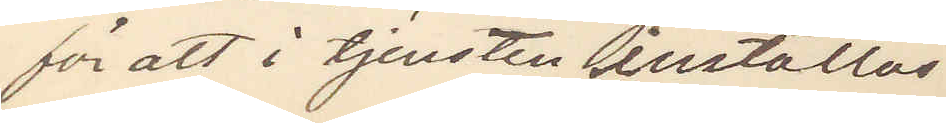för att i tjensten inställas.
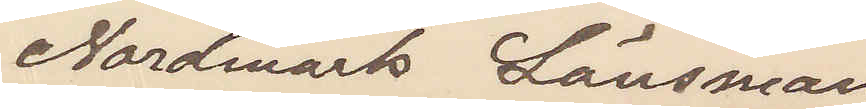Nordmark Länsman
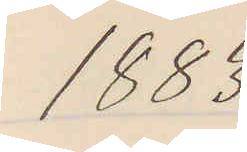1883
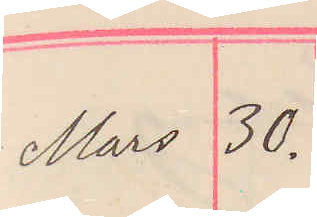Mars 30.
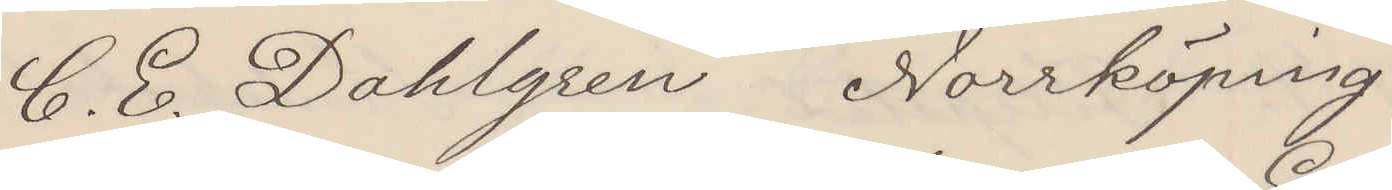C. E. Dahlgren Norrköpingg
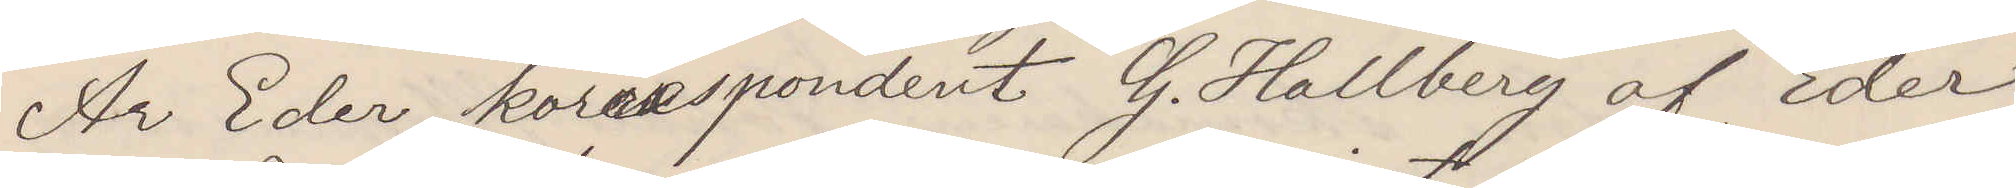Är Eder korrespondent G. Hallberg af Eder
